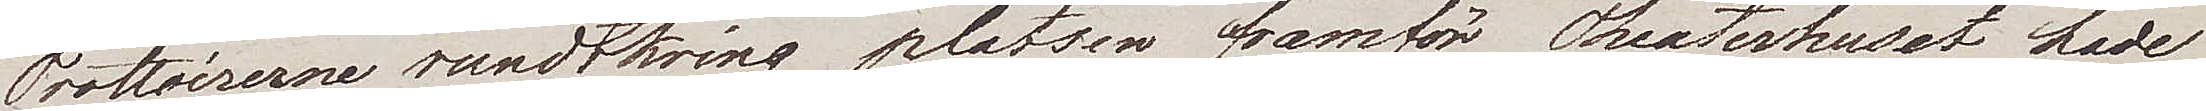Trottoirerne rundtomkring platsen framför Theaterhuset hade
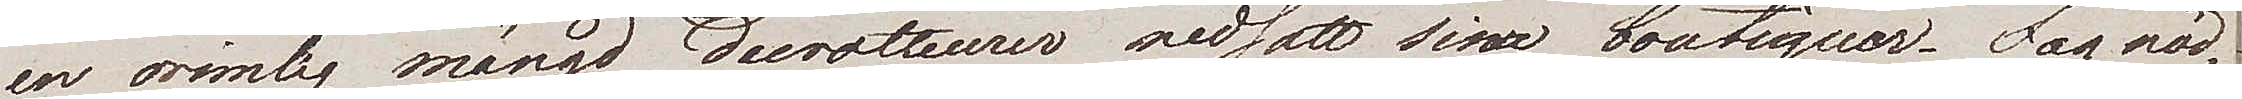en orimlig mängd decroutteurer nedsatt sina boutiquer. Jag nöd¬
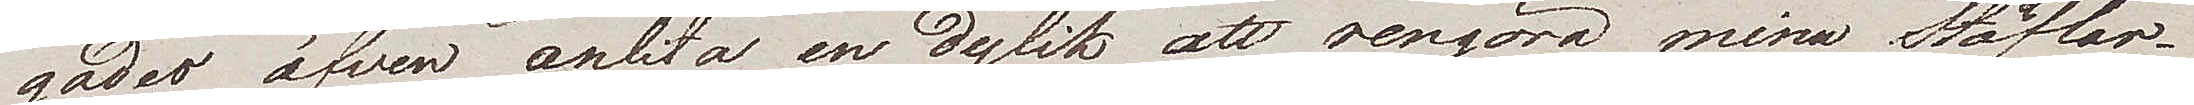gades äfven anlita en dylik att rengöra mina Stöfvlar.
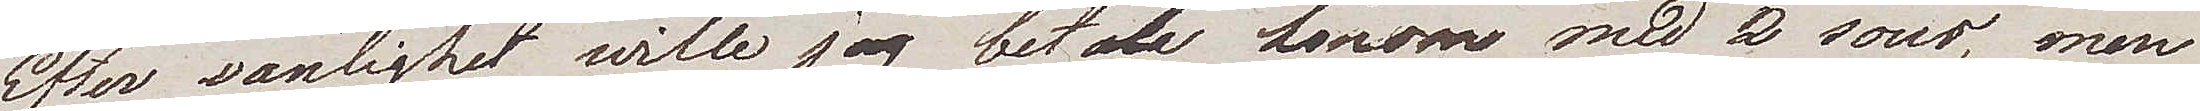Efter vanlighet wille jag betala honom med 2 sous, men
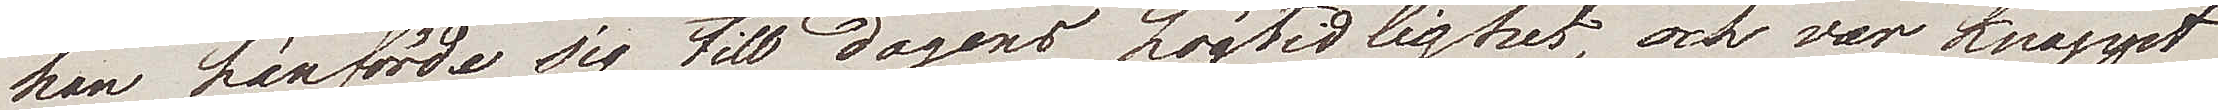han hänförde sig till dagens högtidlighet, och var knappt
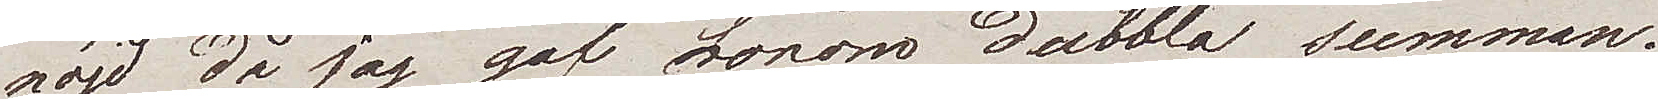nöjd då jag gaf honom dubbla summan.
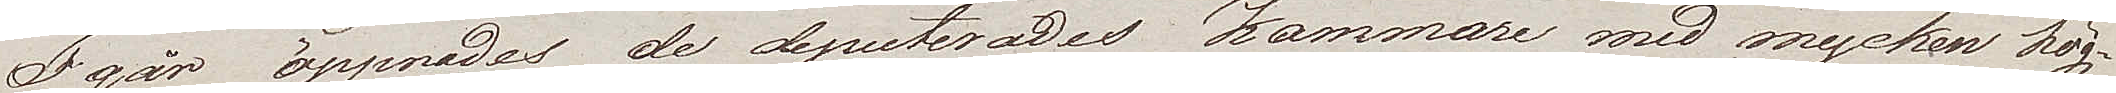I går öppnades de deputerades Kammare med mycken hög¬
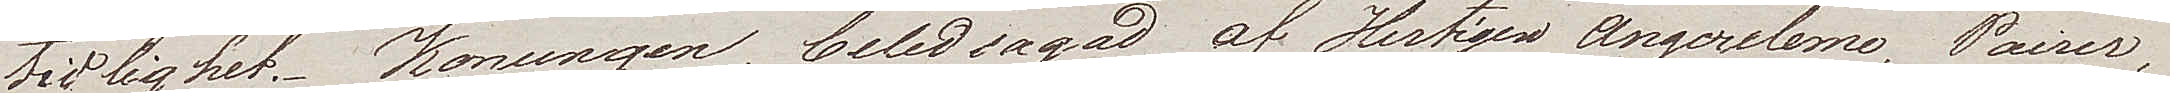tidlighet. Konungen, beledsagad af Hertigen Angouleme, Pairer,
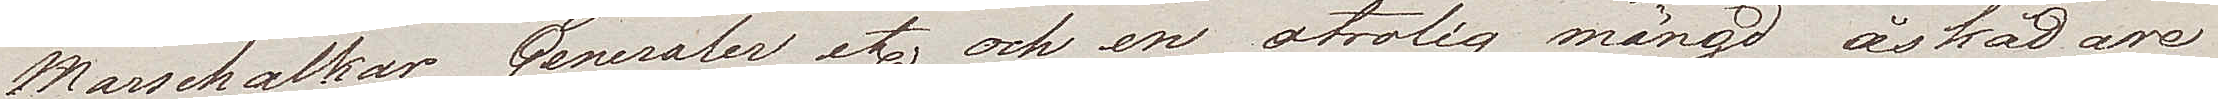Marschalkar, Generaler etc och en otrolig mängd åskådare
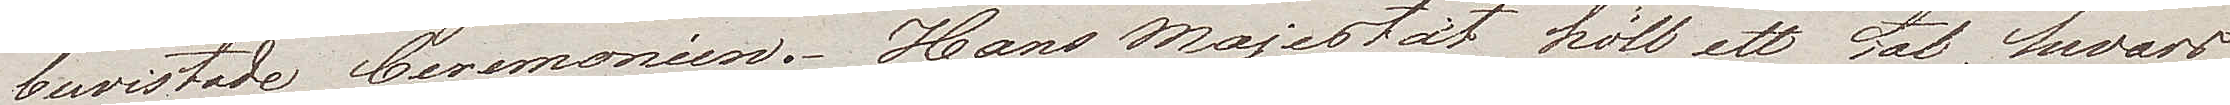bewistade Ceremonien. Hans Majestät höll ett tal hvars
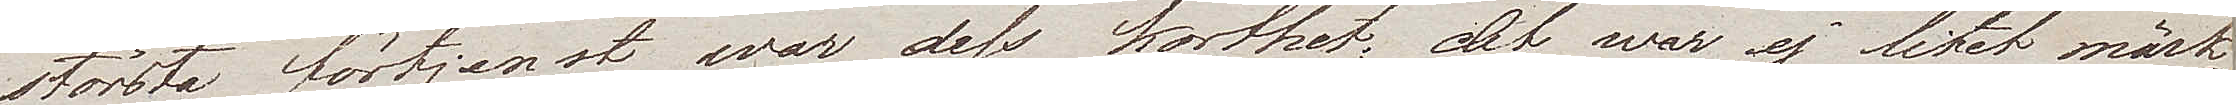största förtjenst war dess korthet; det war ej litet märk¬
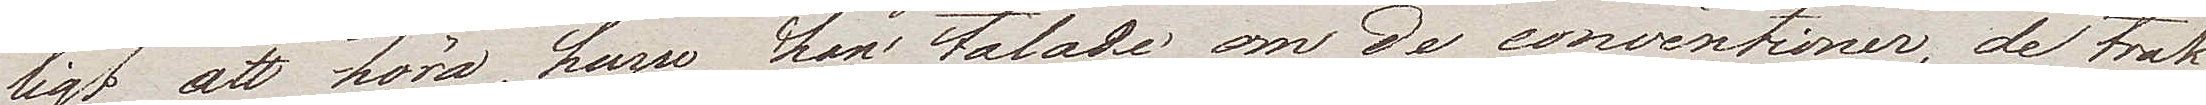ligt att höra, huru han talade om de conventioner, de trak¬
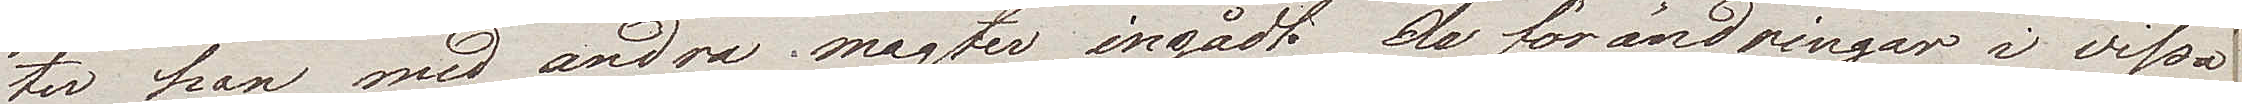ter han med andra magter ingådt; de förändringar i vissa
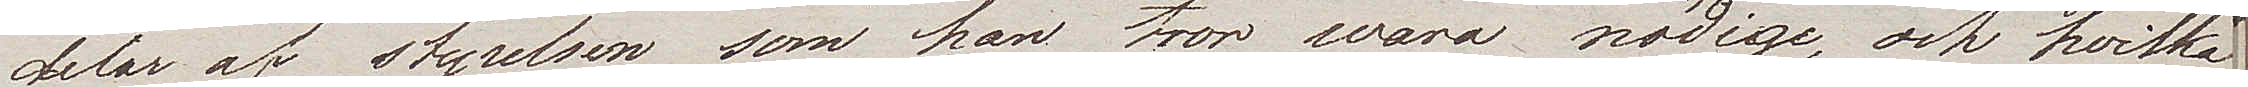delar av styrelsen som han tror wara nödige, och hvilka
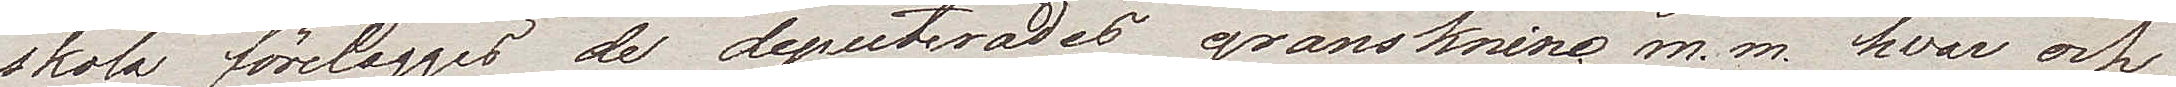skola föreläggas de deputerades granskning m.m. hvar och
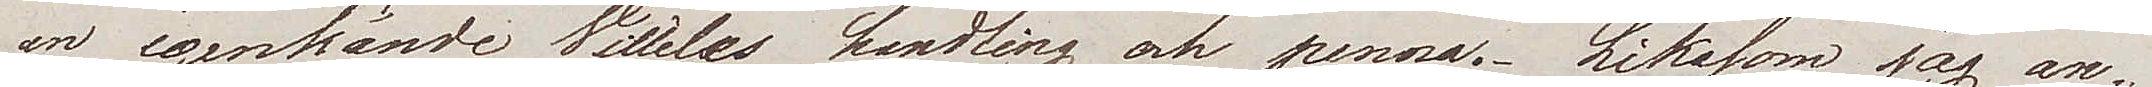en igenkände Villèles handling och penna. Likasom jag an¬
